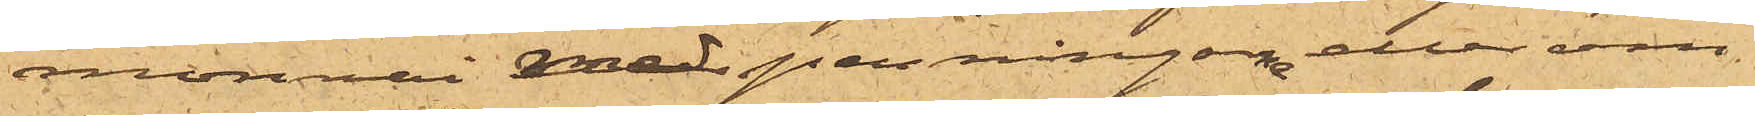monnai med penningar eller om
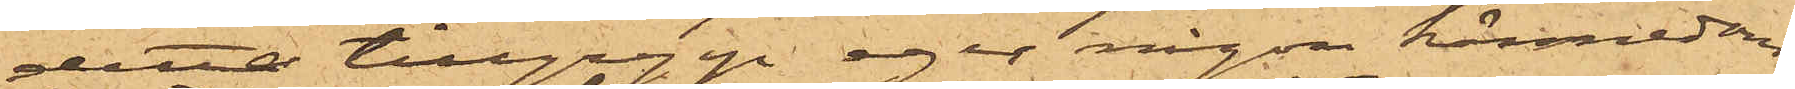detta tillgrepp eger någon kännedom;
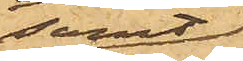samt
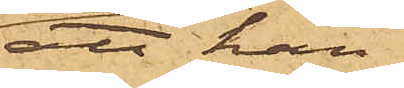att han
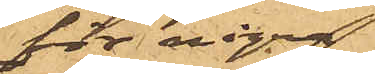för några
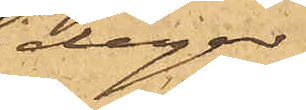dagar
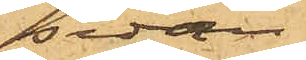sedan
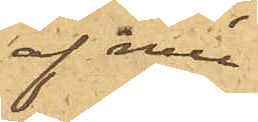af mu¬
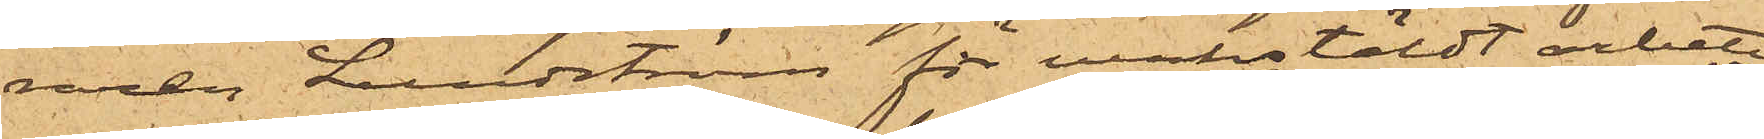raren Lundström för verkstäldt arbete
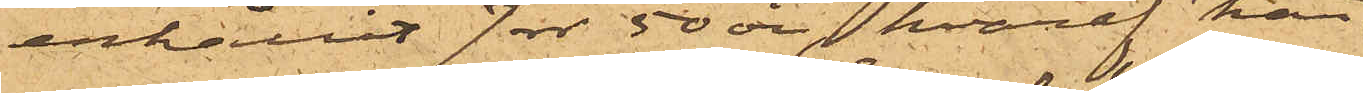erhållit 7 rdr 50 öre, hvaraf han
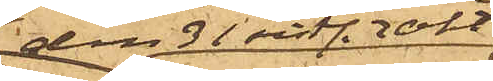den 31 sist. Okt
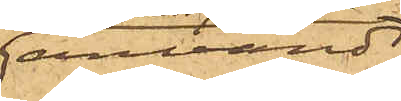användt
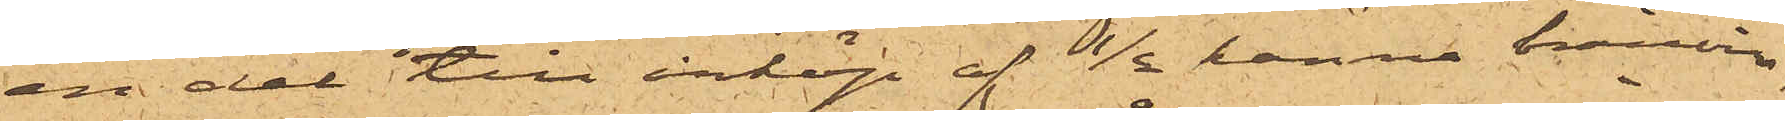en del till inköp af ½ kanna bränvin
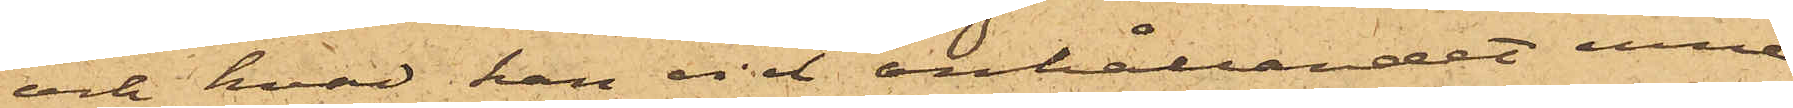och hvad han vid anhållandet inne¬
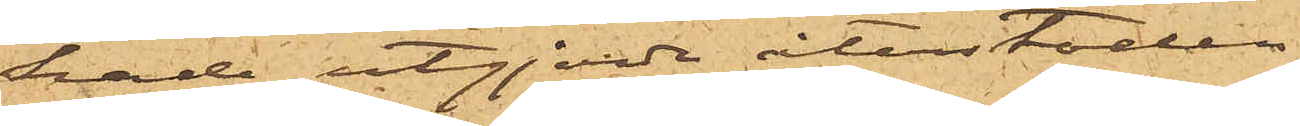hade utgjorde återstoden.
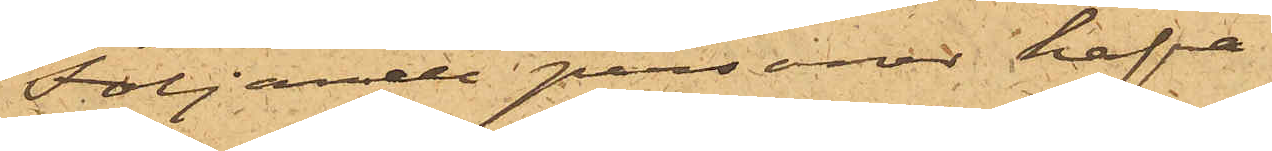Följande personer hafva
